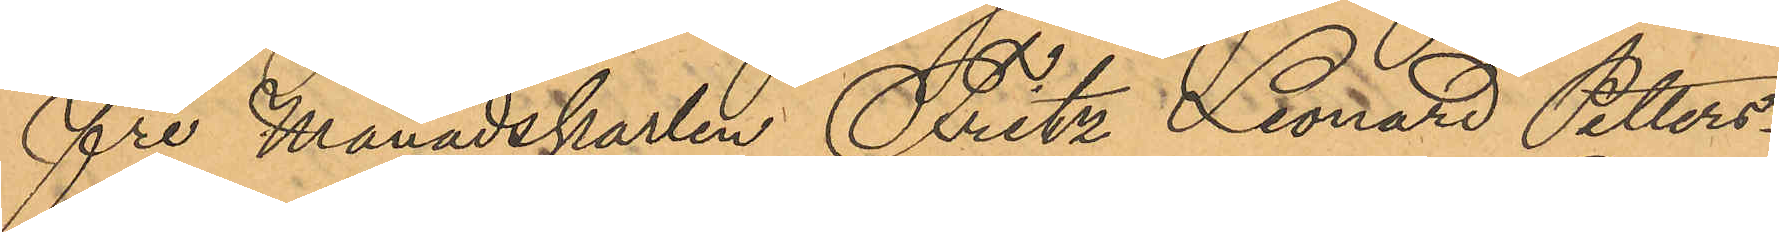fre Månadskarlen Fritz Leonard Petters¬
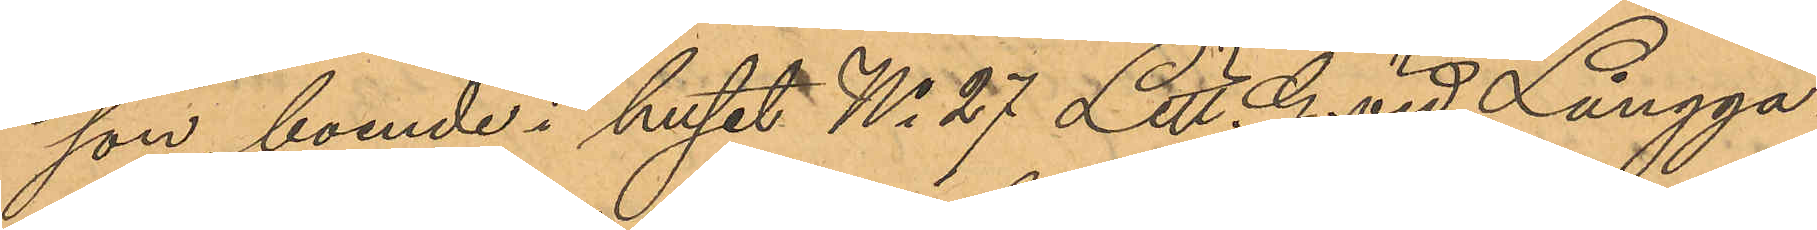son, boende i huset No 27 Litt G. vid Långga¬
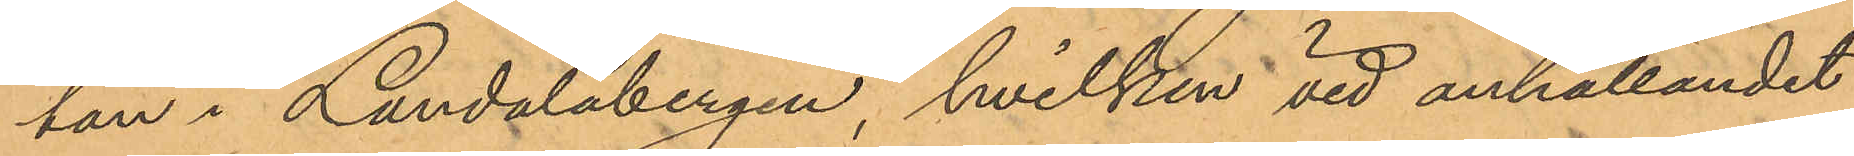tan i Landalabergen, hvilken vid anhållandet
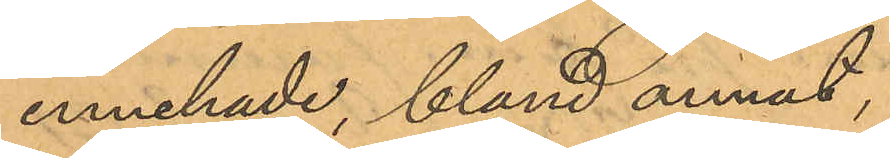innehade, bland annat;
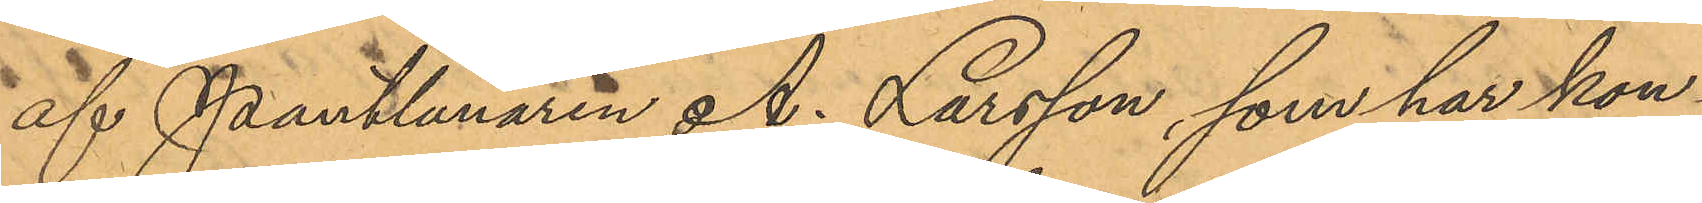af Pantlånaren A. Larsson, som har kon¬
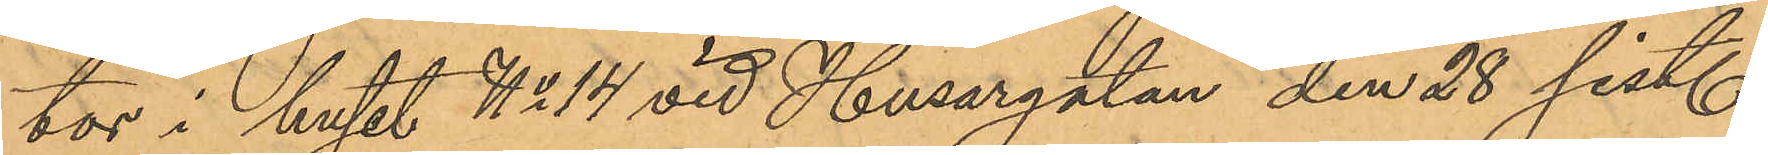tor i huset No 14 vid Husargatan den 28 sist.
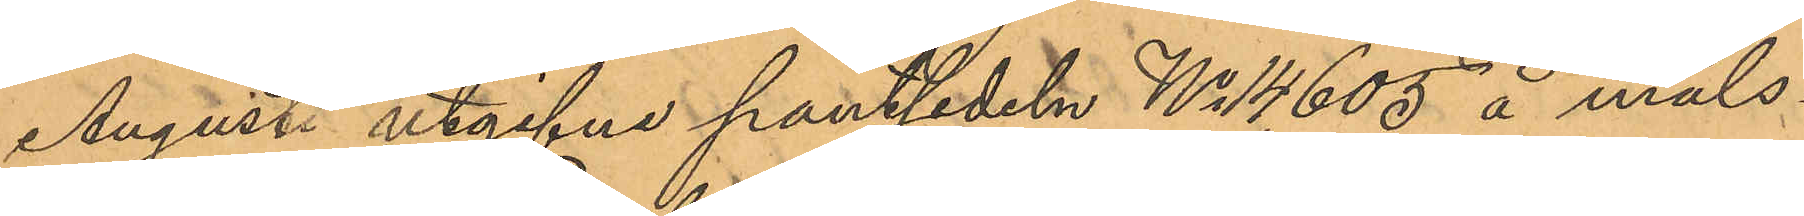Augusti utgifne pantsedeln No 14,605 å måls¬
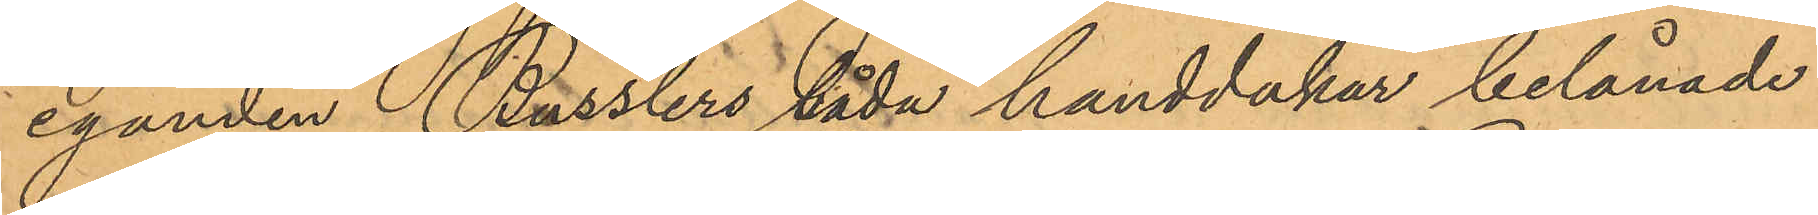eganden Russlers båda handdukar belånade
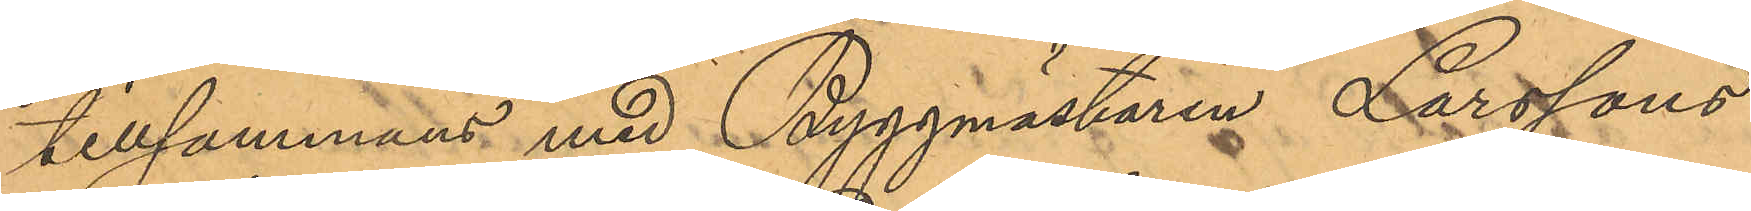tillsammans med Byggmästaren Larssons
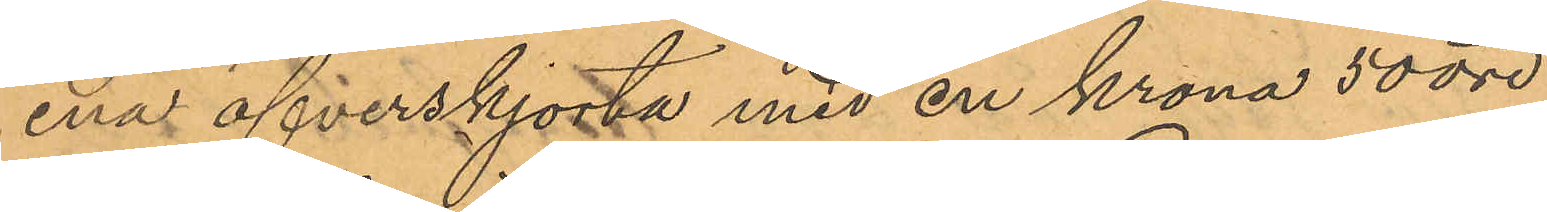ena öfverskjorta med en krona 50 öre;
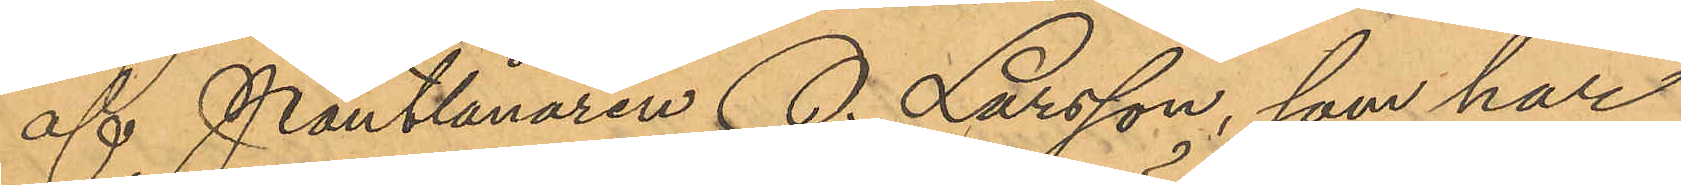af Pantlånaren O. Larsson, som har
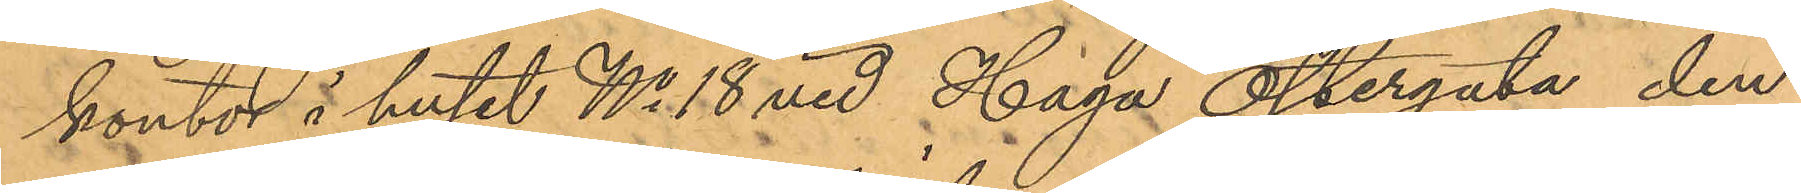kontor i huset No 18 vid Haga Östergata den
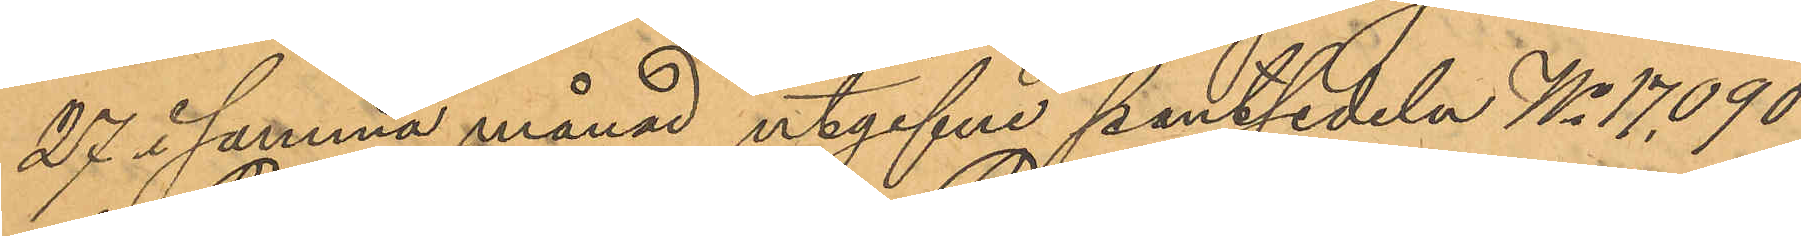27 i samma månad utgifne pantsedeln No 17,090
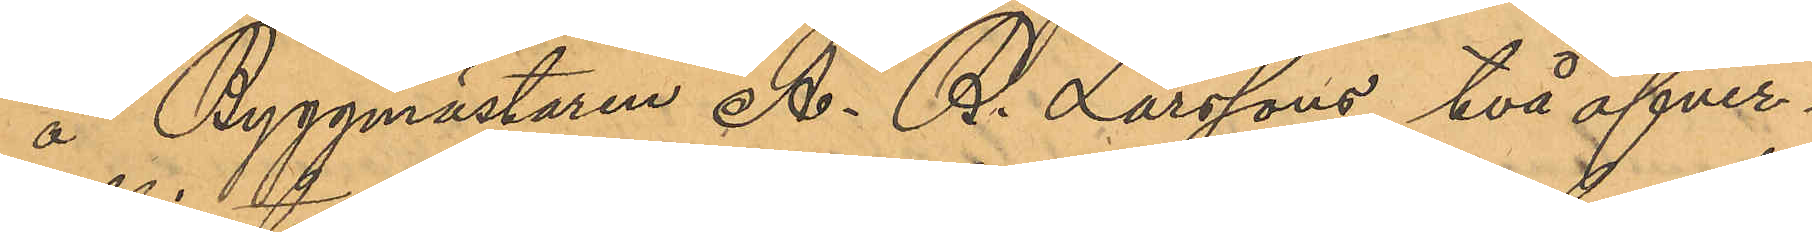å Byggmästaren A. R. Larssons två öfver¬
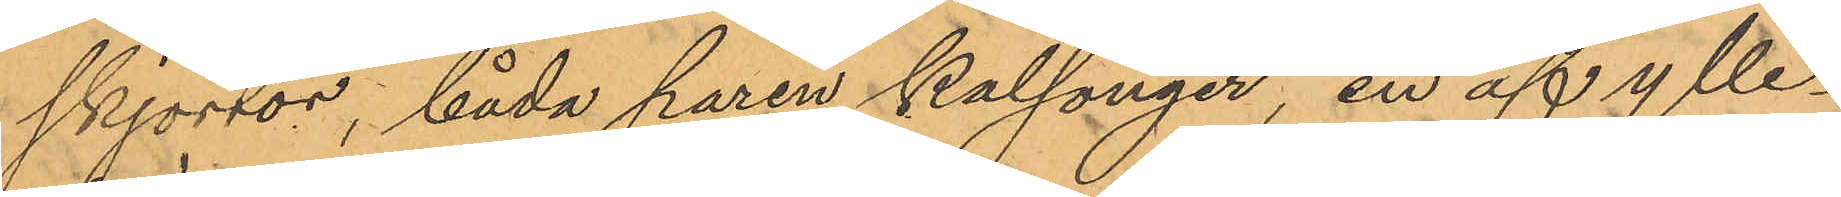skjortor, båda paren kalsonger, en af ylle¬
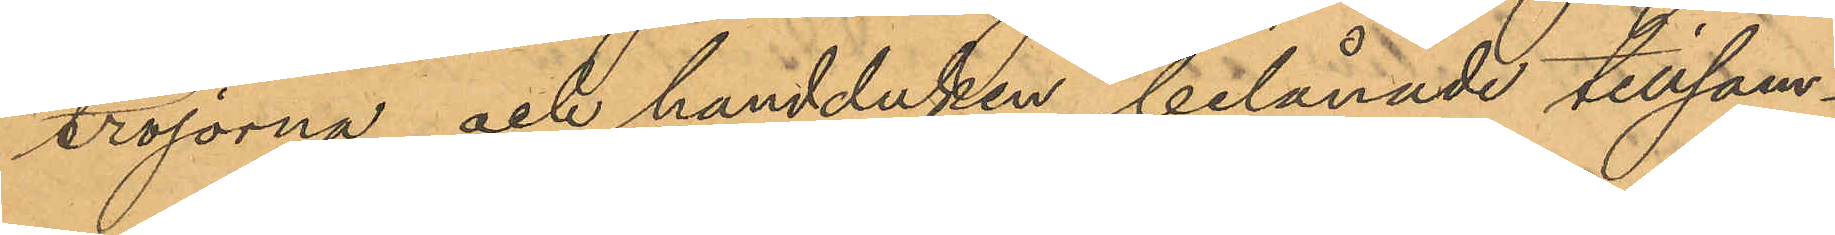tröjorna och handduken belånade tillsam¬
